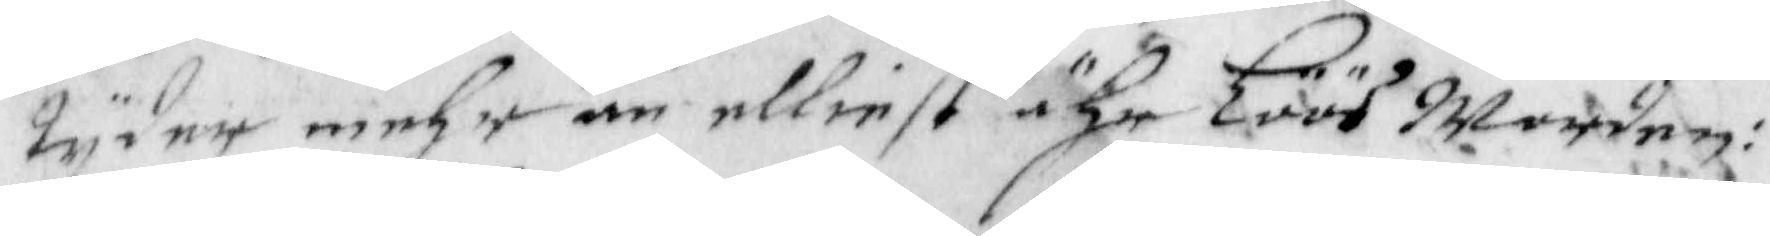tyder mehr än elliest ähr Löös Worden:
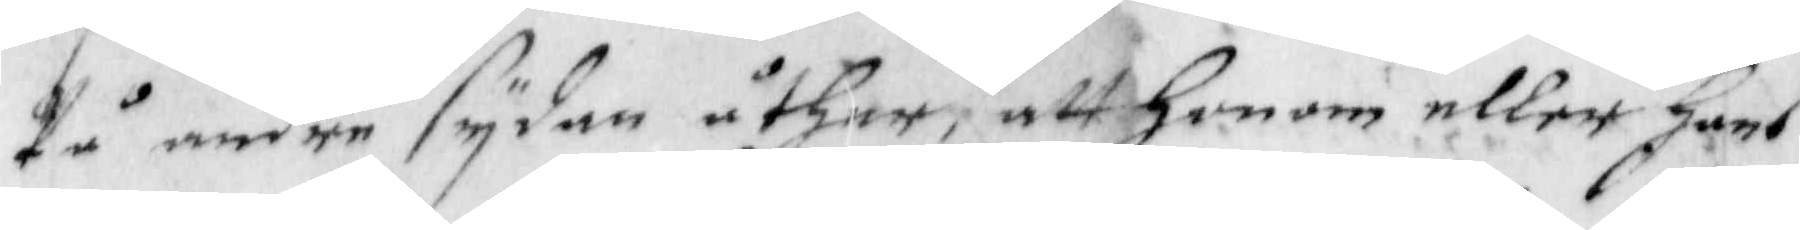på andre sydan åther, att Honom eller hans
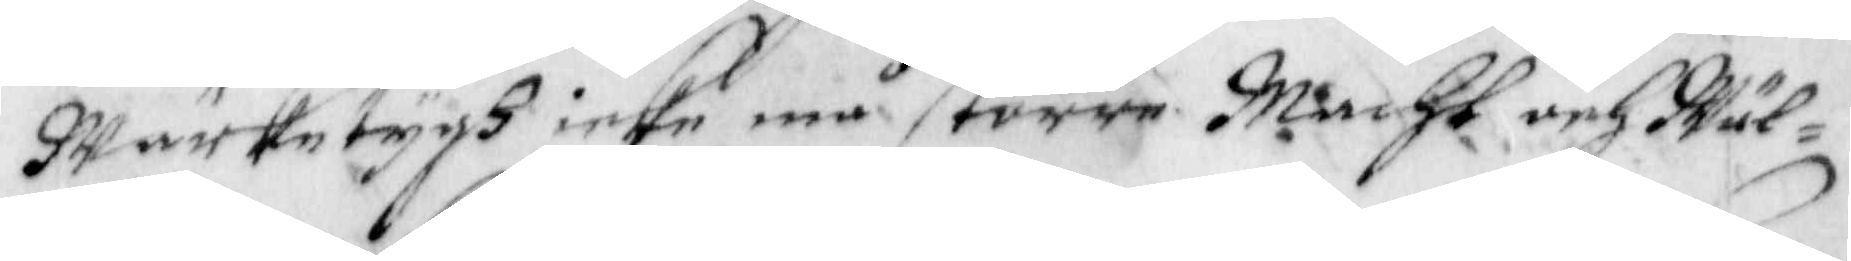Wärketygh icke må större Macht och Wäl¬
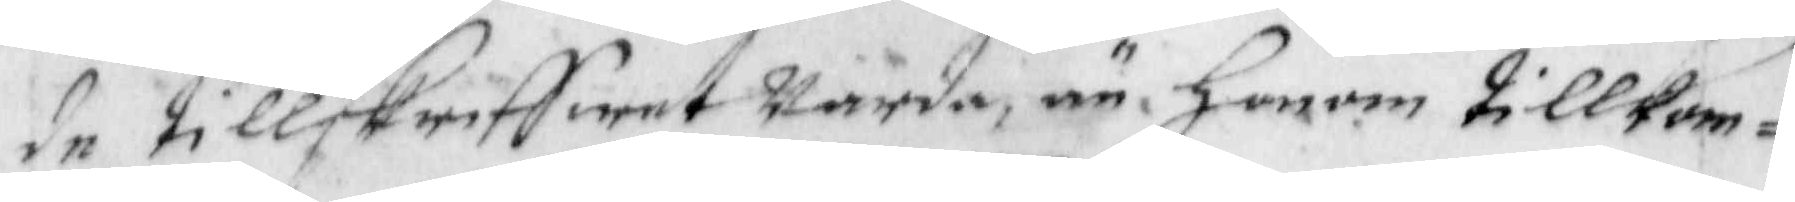de tillskriffwet warda, än Honom tillkom¬
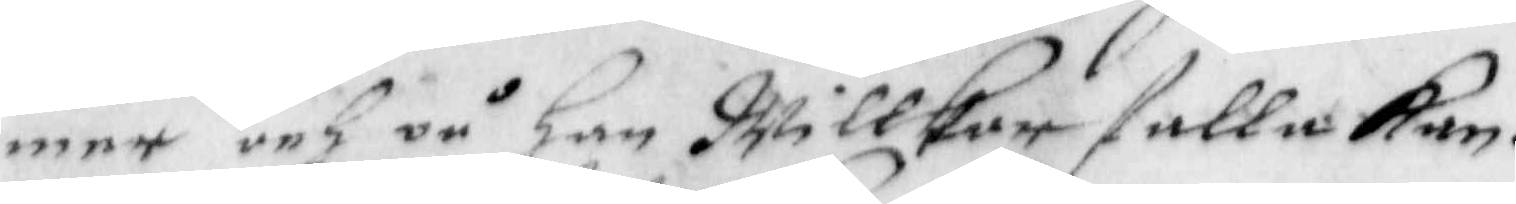mer och på han Willkor falla kan.
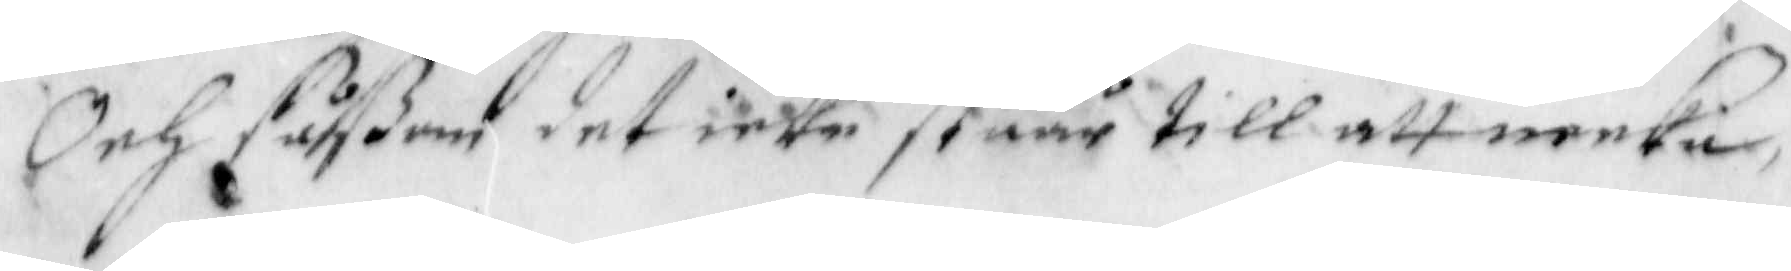Och såßom det icke ståår till att merkia 
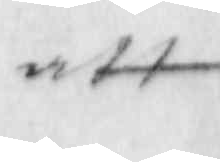att
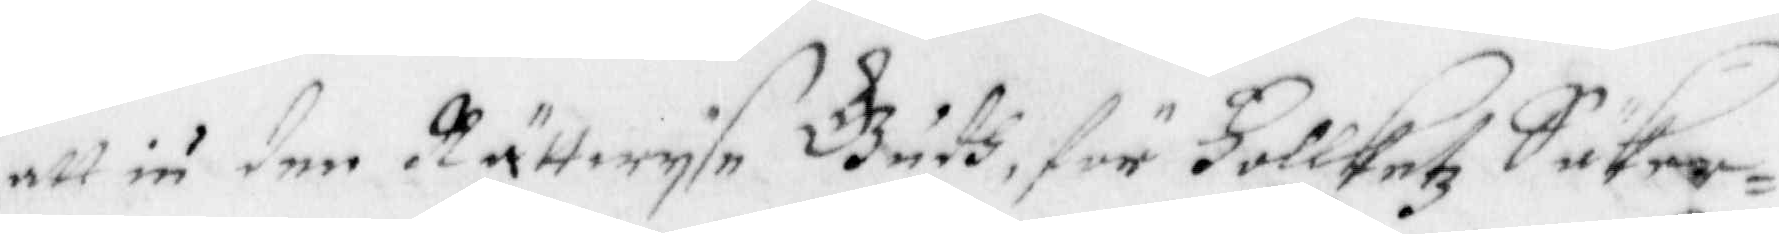att iu den Rättwyse Gudh, för Follketz Säker¬
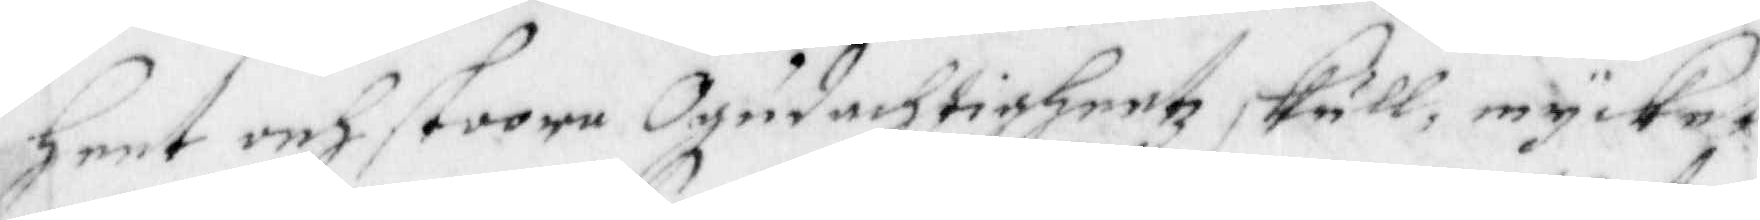heet och stoore Ogudachtigheetz skull, mycket
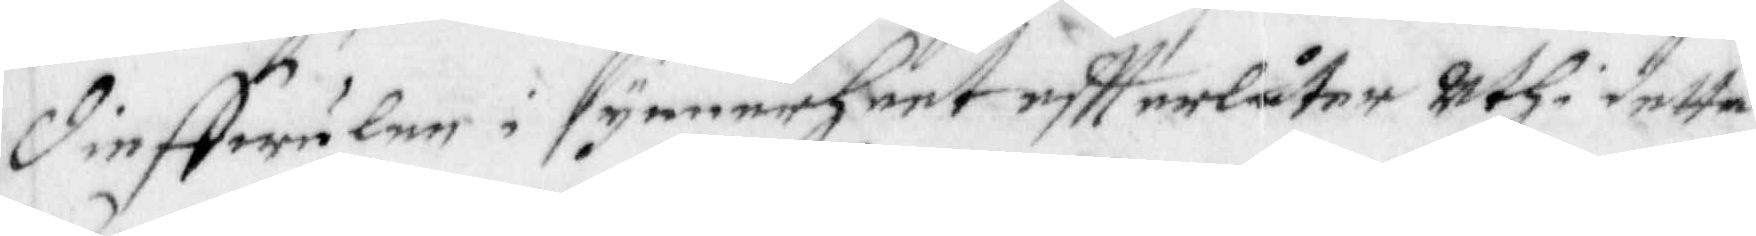dieffwulen i synnerheet effterlåter uthi detta
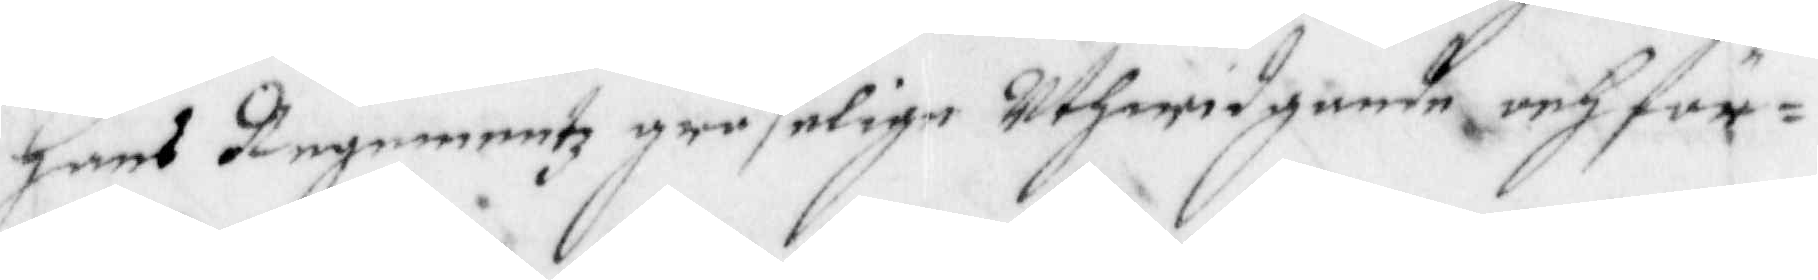Hans Regementz gräselige Uthwidgande och för¬
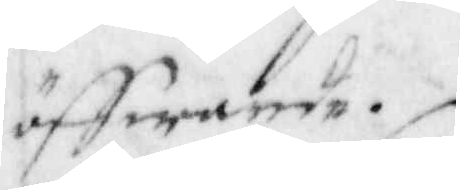öffwande.
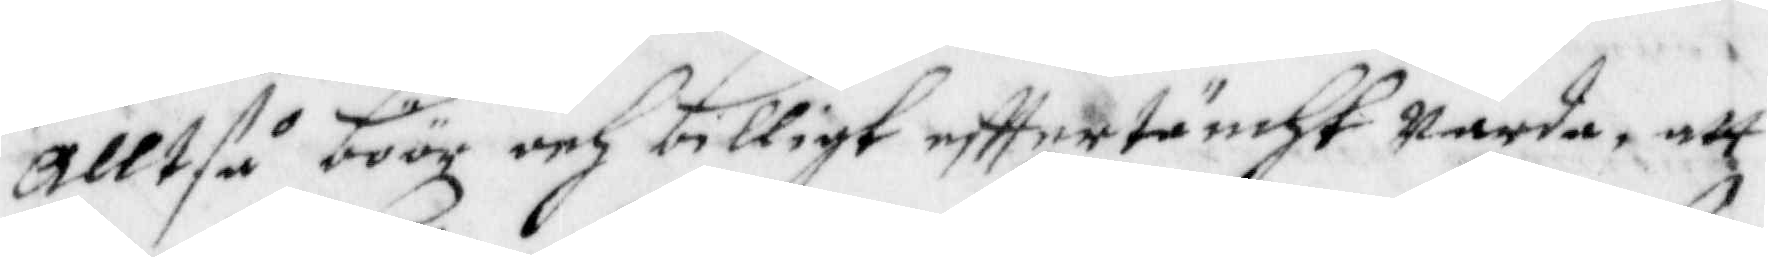Alltså böör och billigt efftertäncht Warda, att
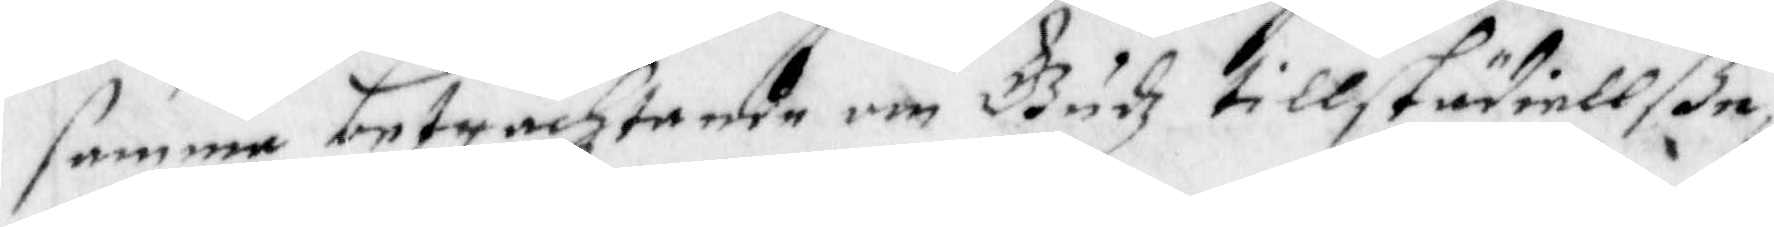samma betrachtande om Gudz tillstädiellße
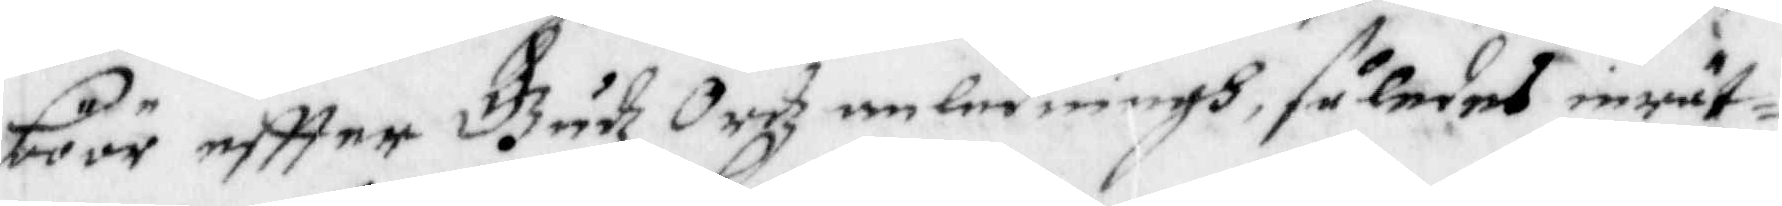böör effter Gudz Ordz omledningh, således inrät¬
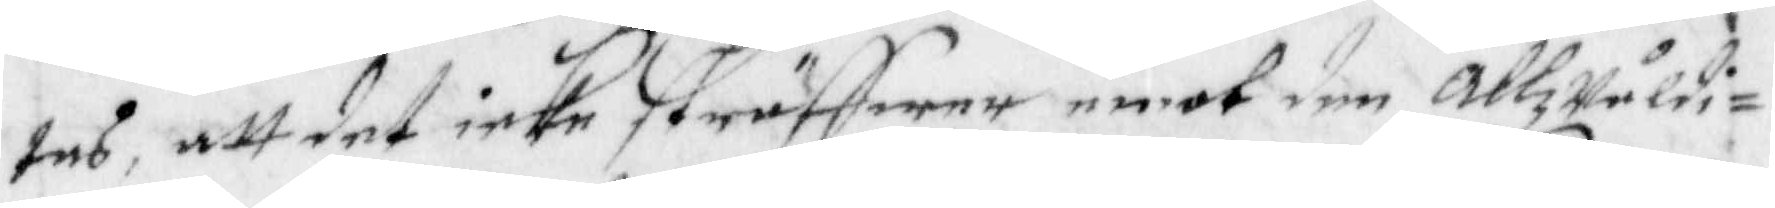tas, att det icke sträffwer emot den AllzWäldi¬
